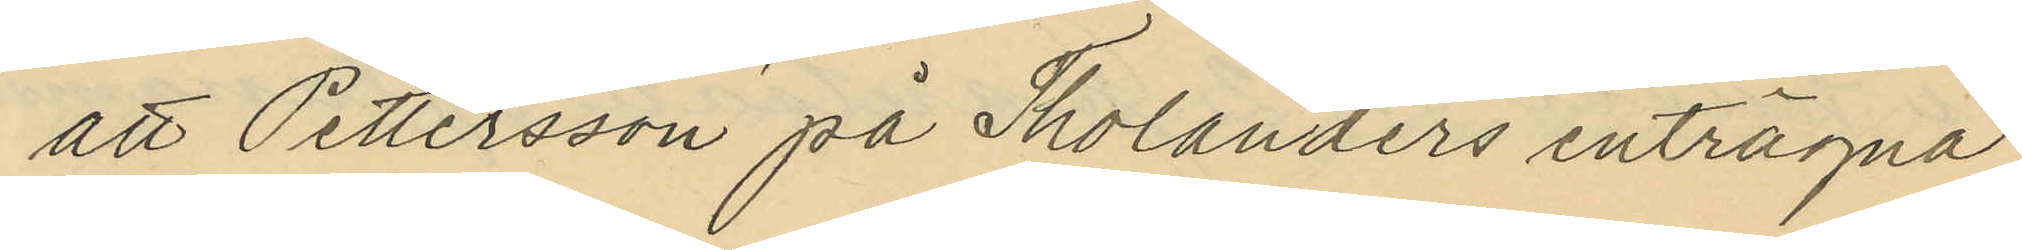att Pettersson på Tholanders enträgna
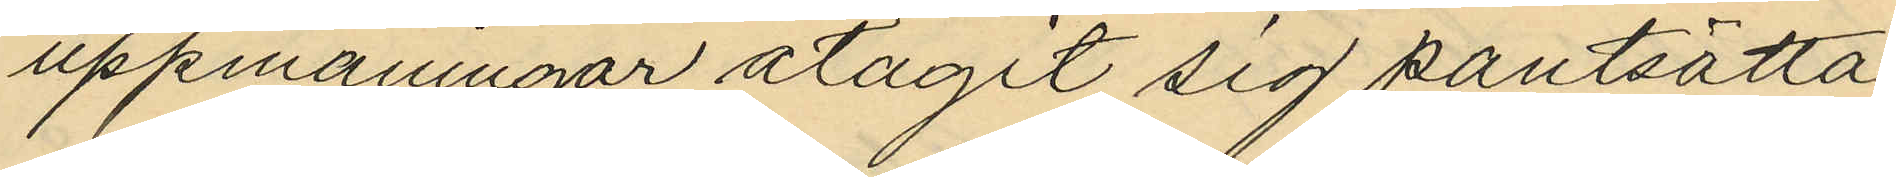uppmaningar åtagit sig pantsätta
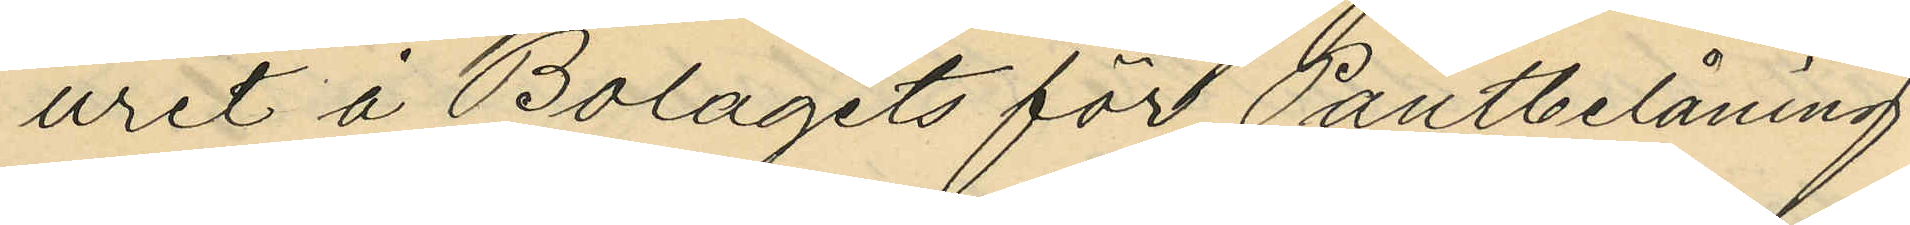uret å Bolagets för Pantbelåning
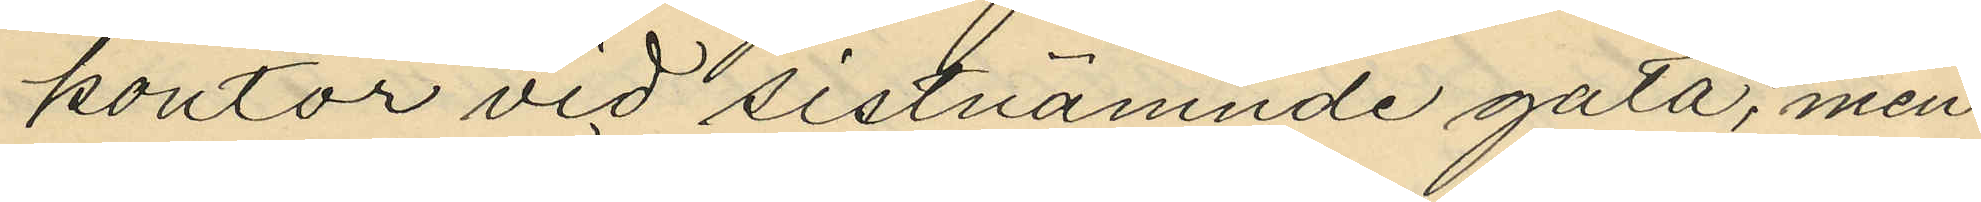kontor vid sistnämnde gata, men
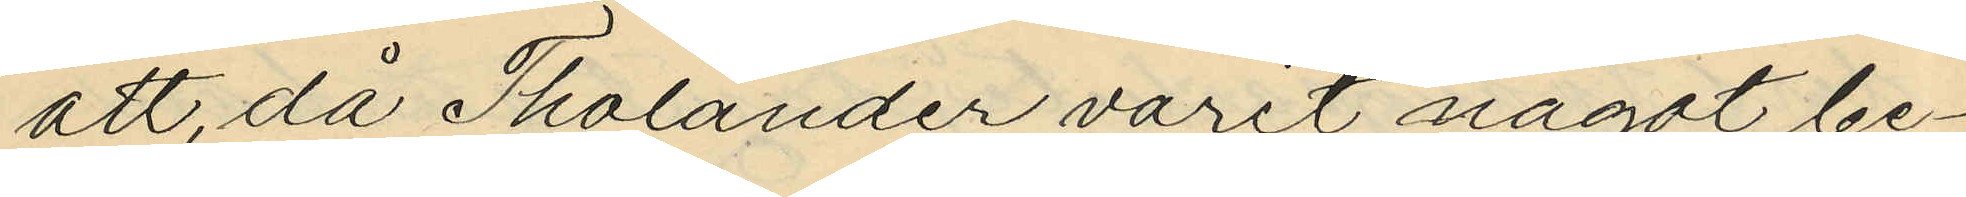att, då Tholander varit något be¬
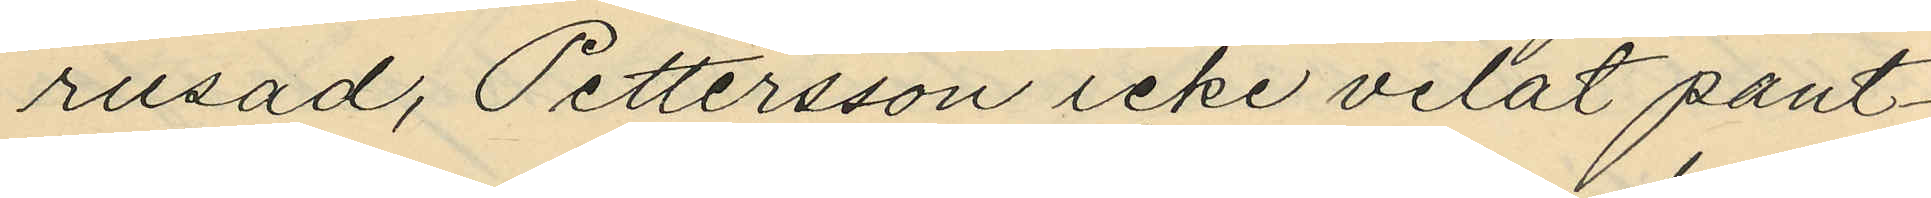rusad, Pettersson icke velat pant¬
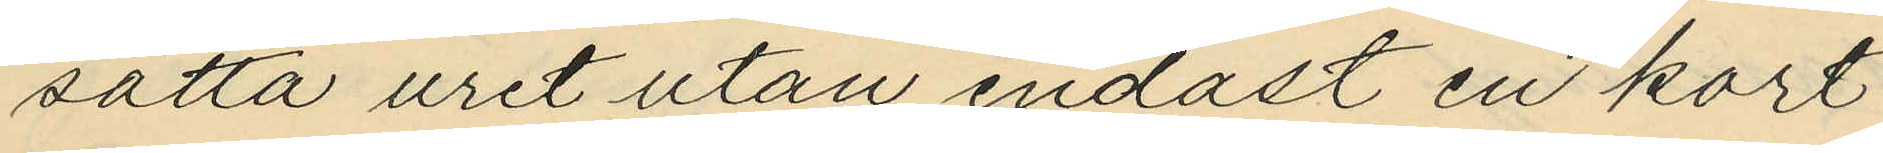satta uret utan endast en kort
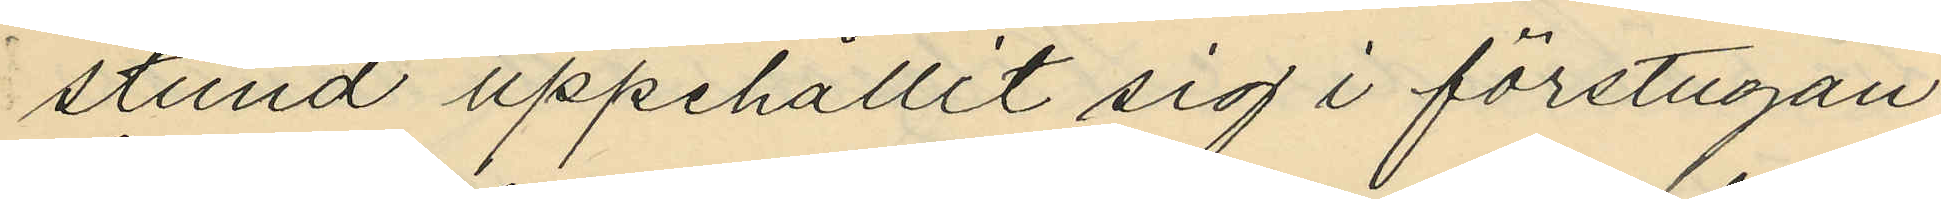stund uppehållit sig i förstugan
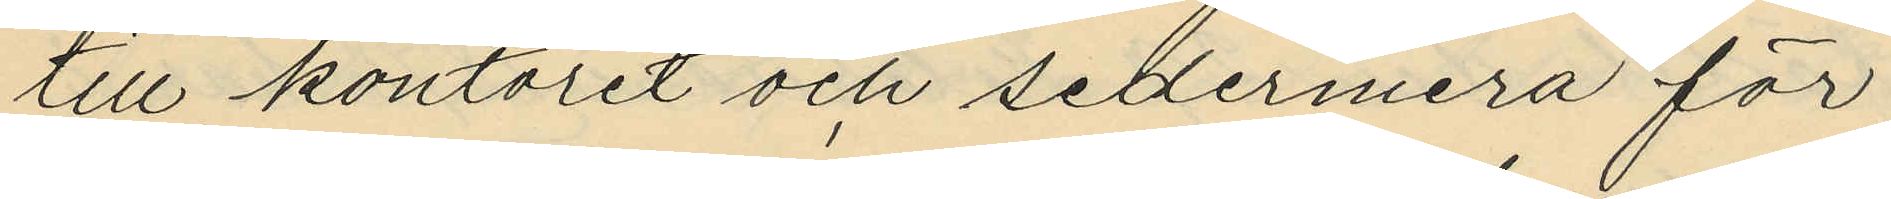till kontoret och sedermera för
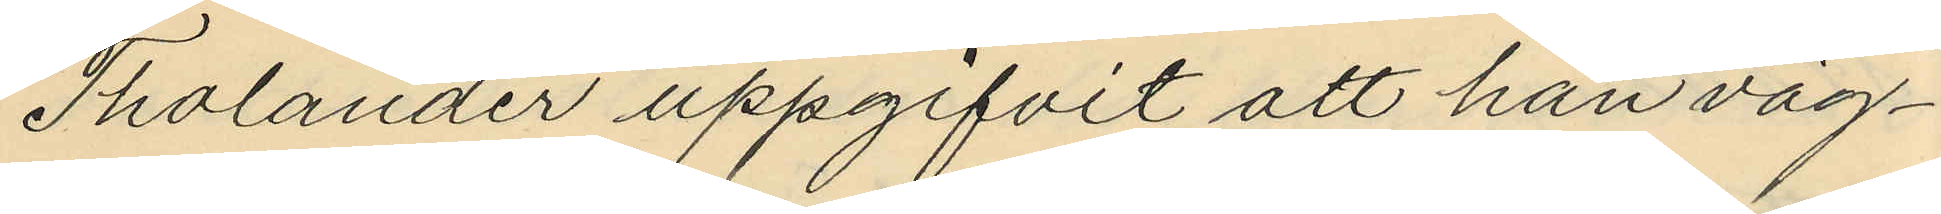Tholander uppgifvit att han väg¬
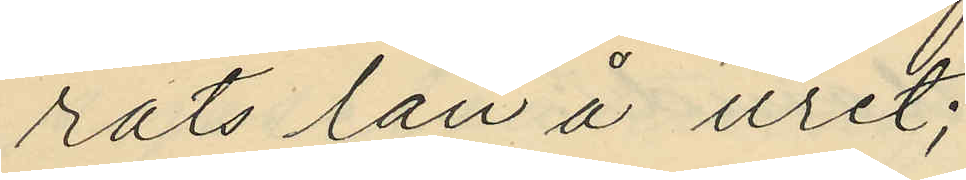rats lån å uret;
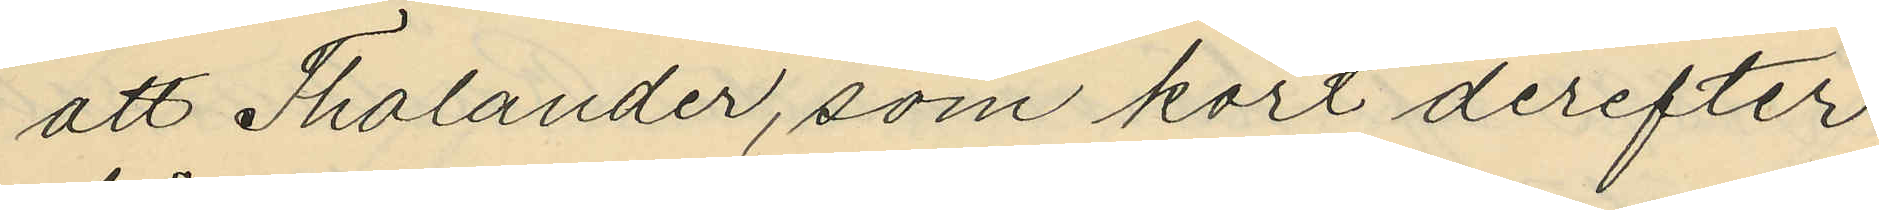att Tholander, som kort derefter
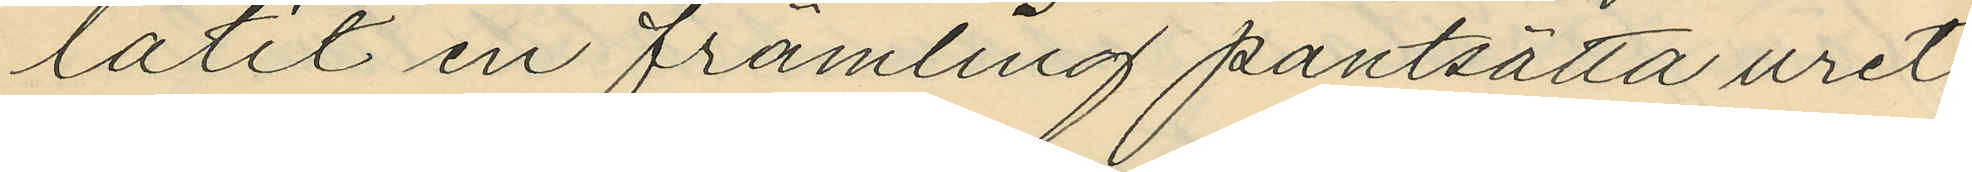låtit en främling pantsätta uret
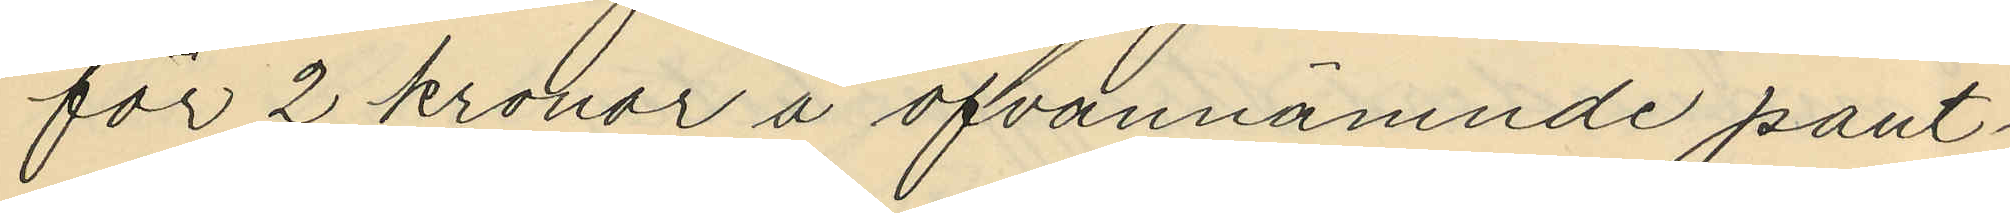för 2 kronor å ofvannämnde pant¬
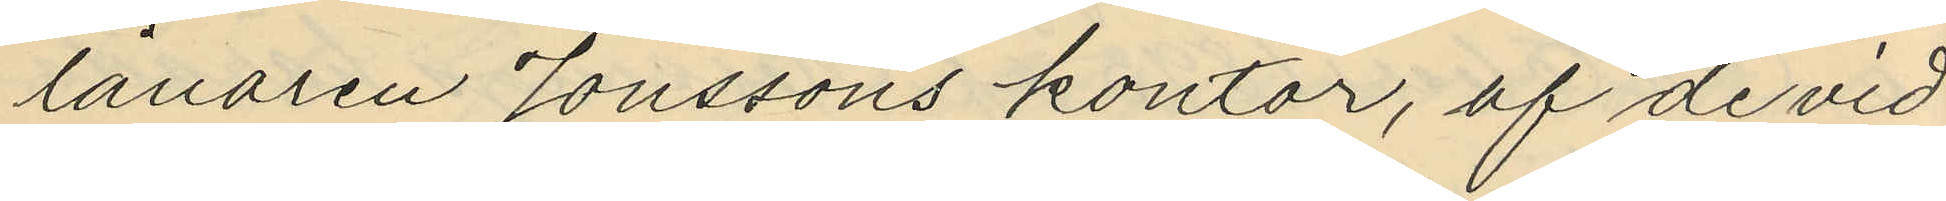lånaren Jonssons kontor, af de vid
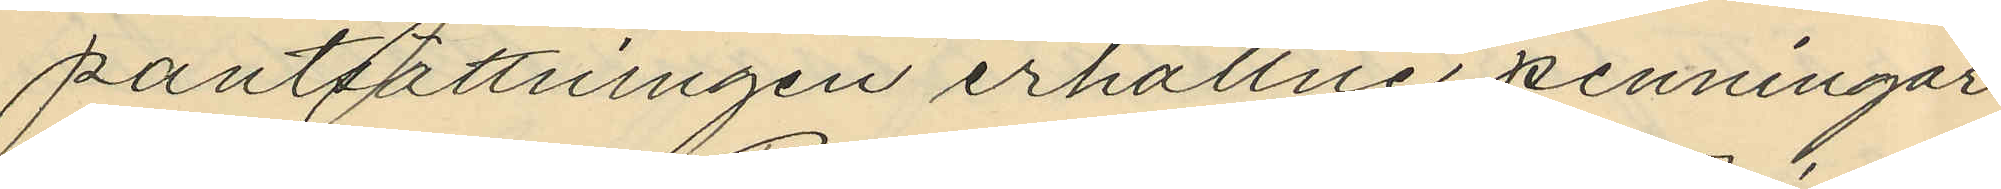pantsättningen erhållne penningar;
